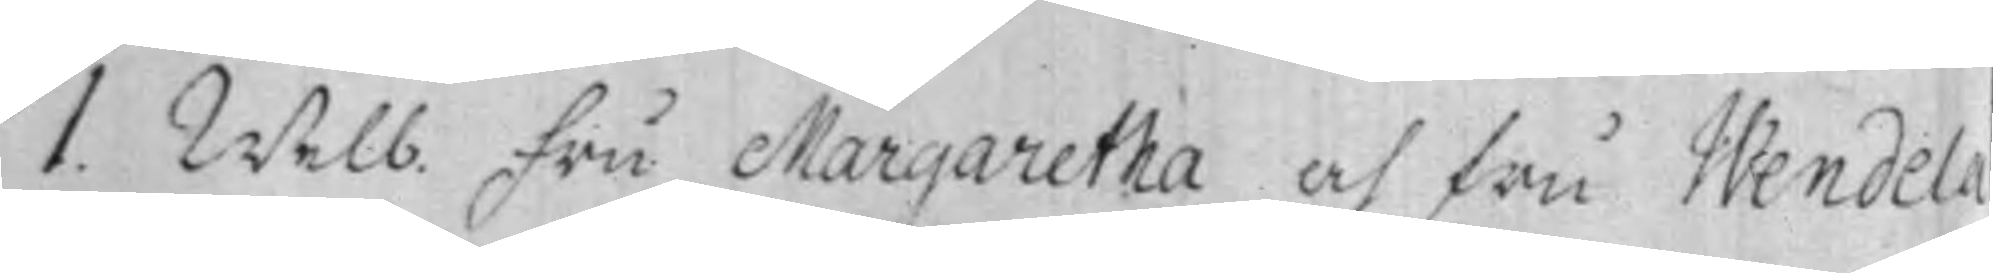1. Welb. Fru Margaretha och fru Wendela
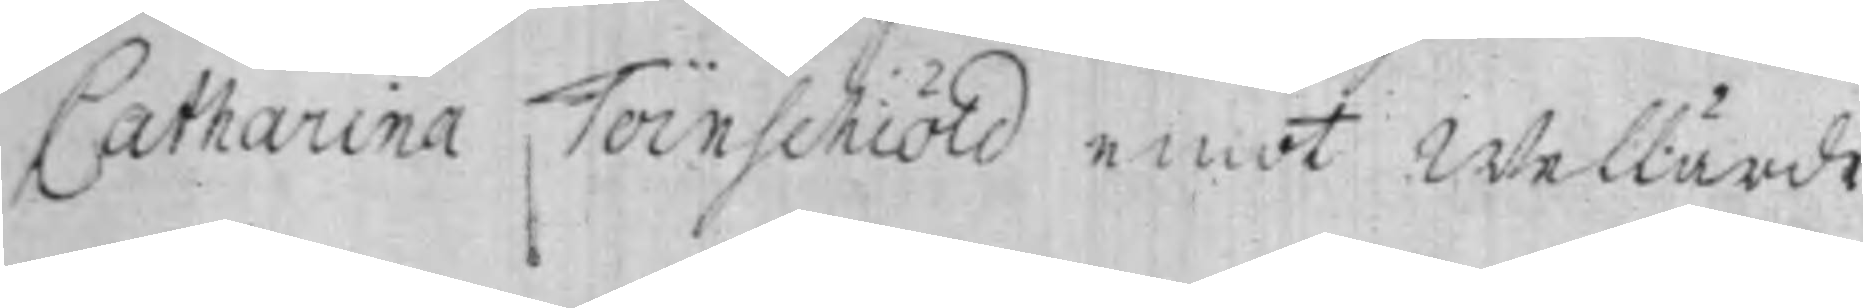Catharina Törnschiöld emot Wellärde
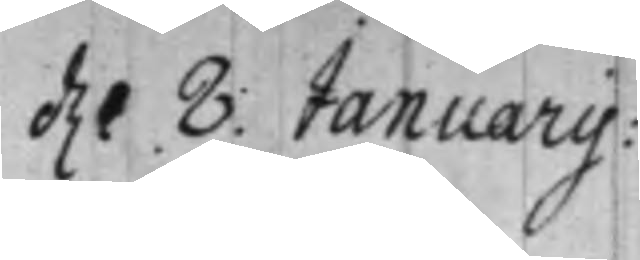d. 8 Januarij:
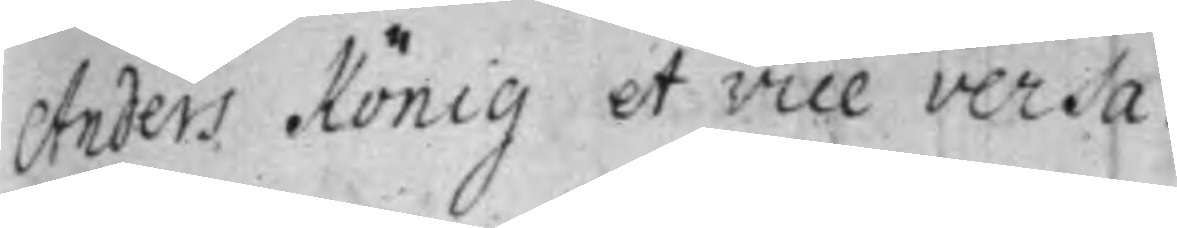Anders König et vice versa.
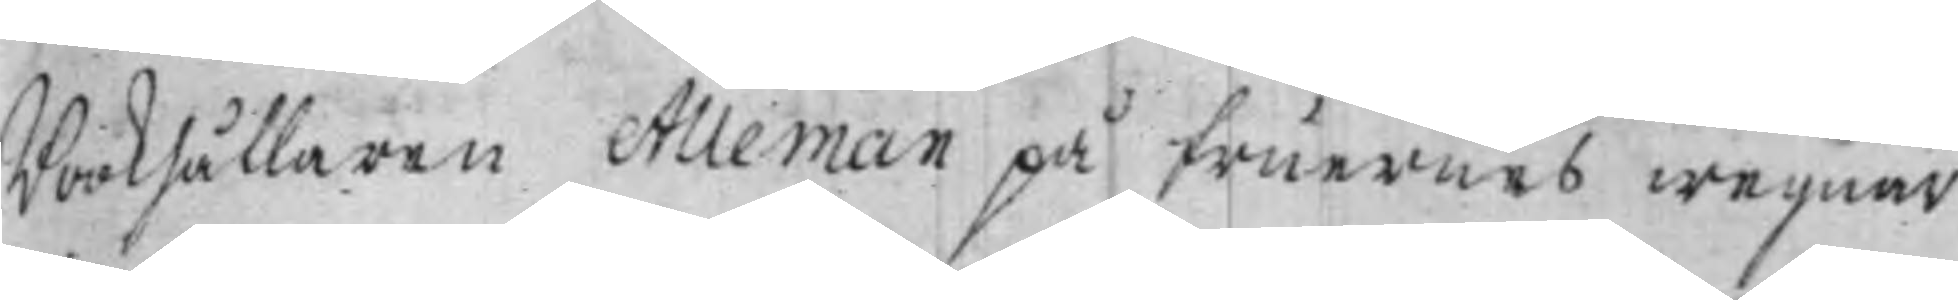Bokhållaren Alleman på fruernes wegnar
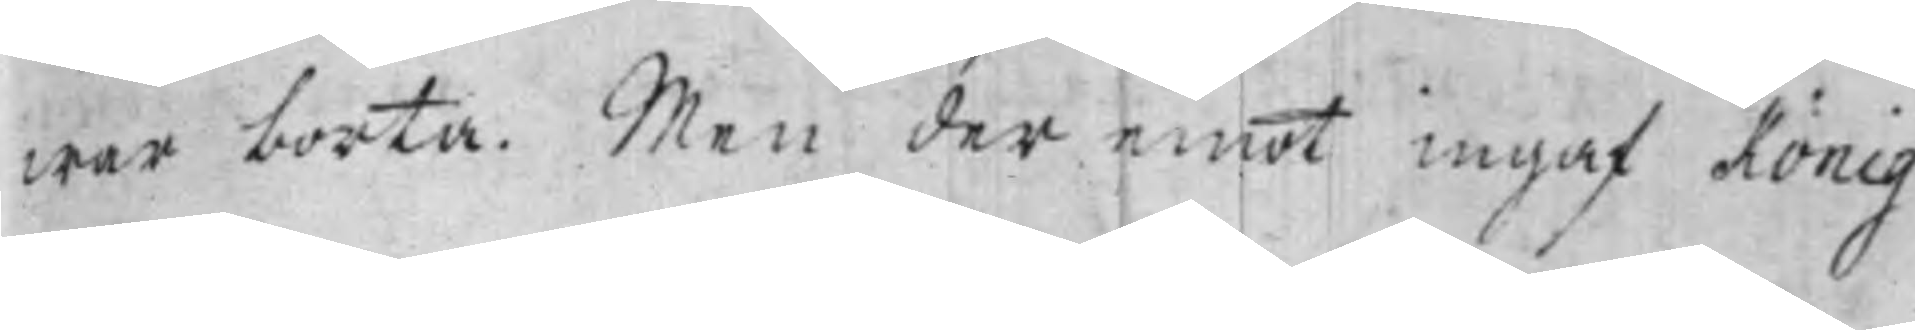war borta. Men der emot ingaf König
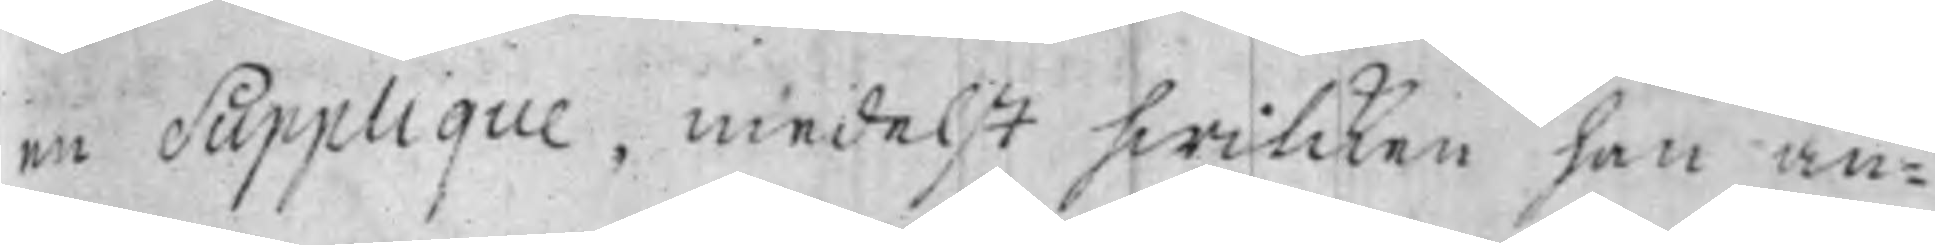en Supplique, medelst hwilcken han an¬
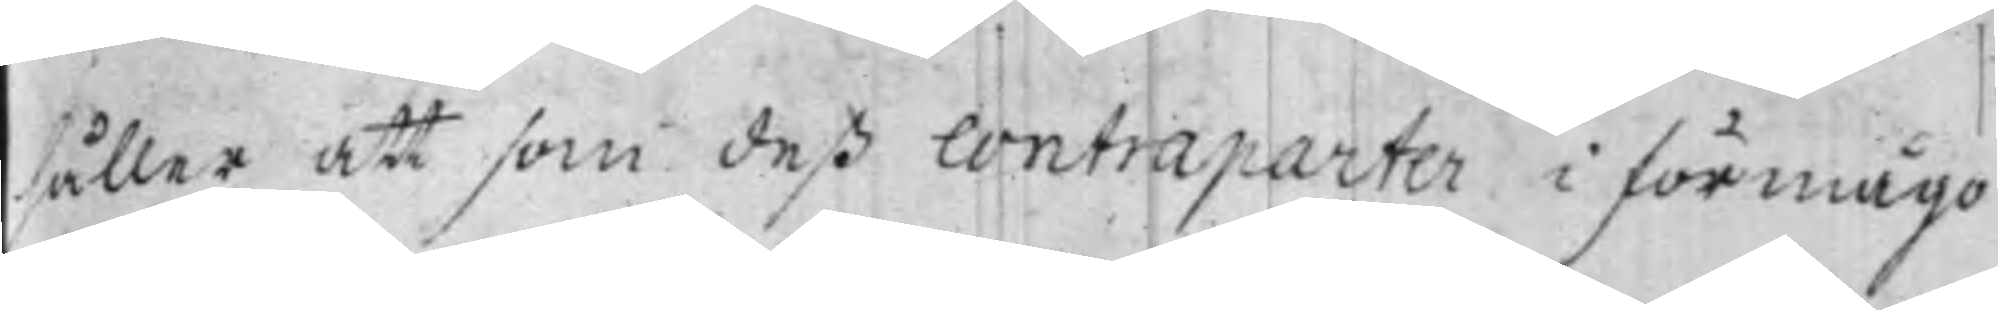håller att som deß contraparter i förmågo
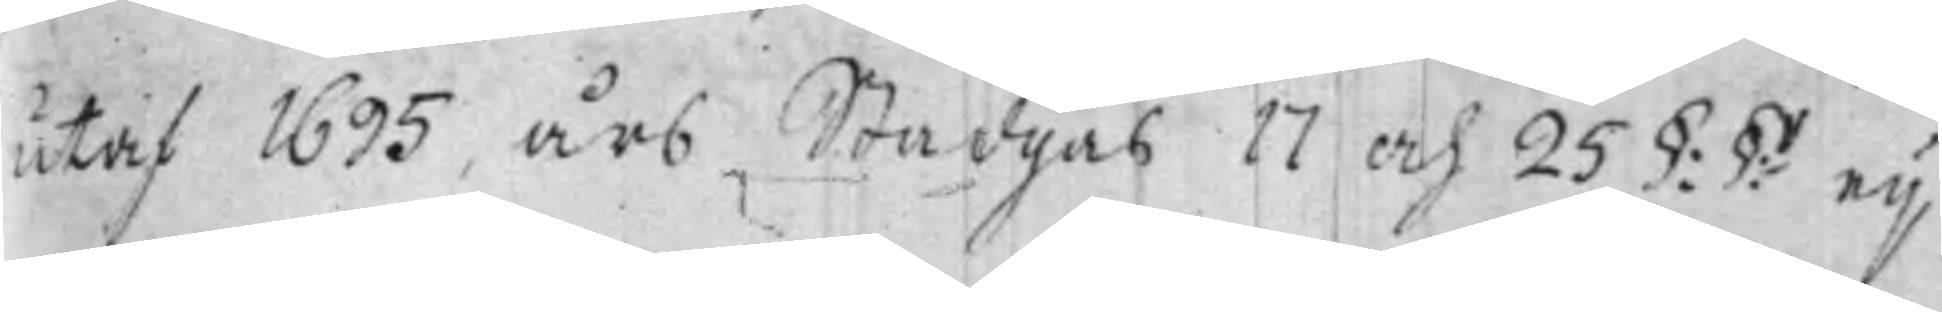utaf 1695 års Stadgas 17 och 25 §:§:r ey
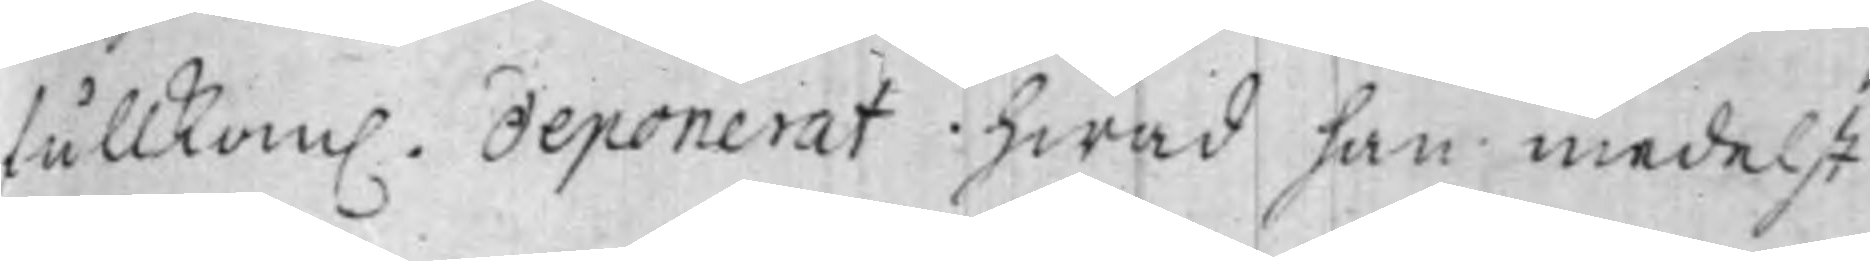fullkom. deponerat hwad han medelst
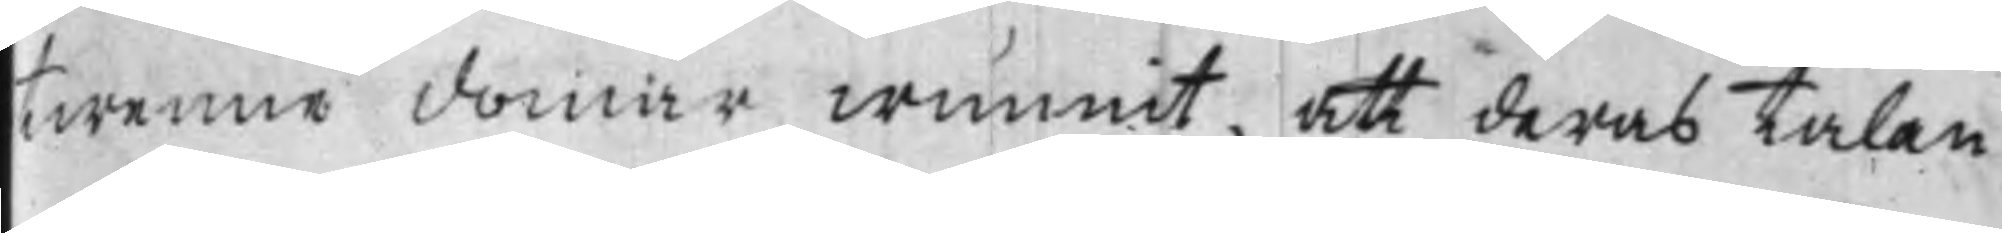twenne domar wunnit, att deras Talan
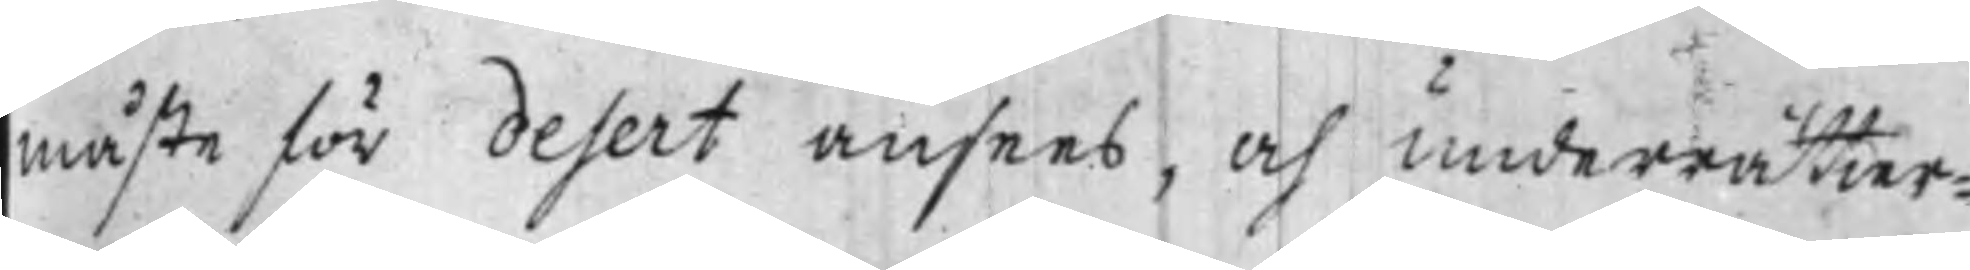måste för desert ansees, och underrätter¬
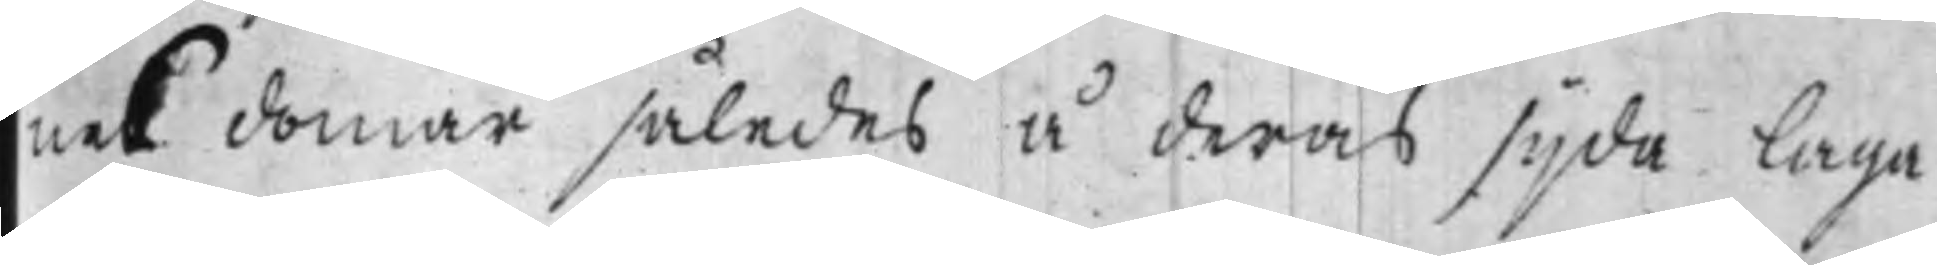nes domar således å deras sijda laga
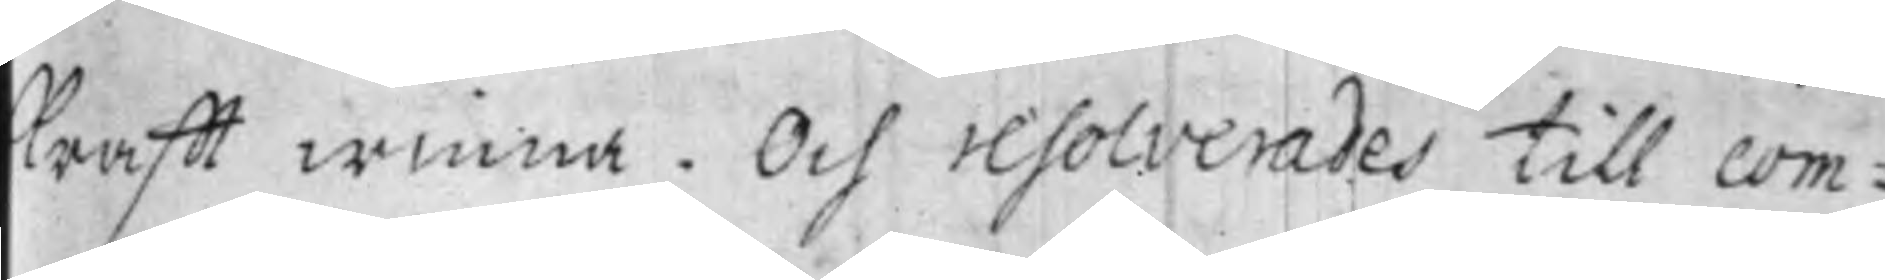krafft winna. Och resolverades till com¬
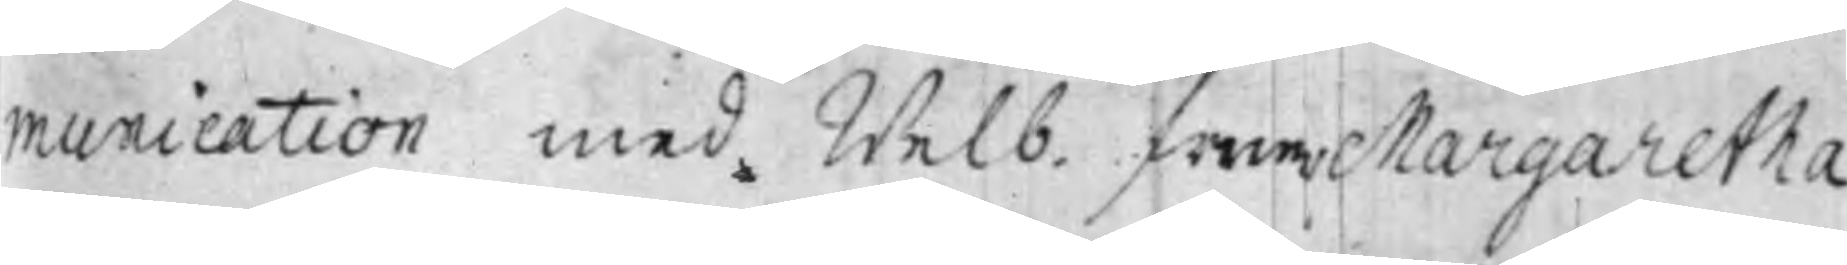munication med Welb. fruer Margaretha
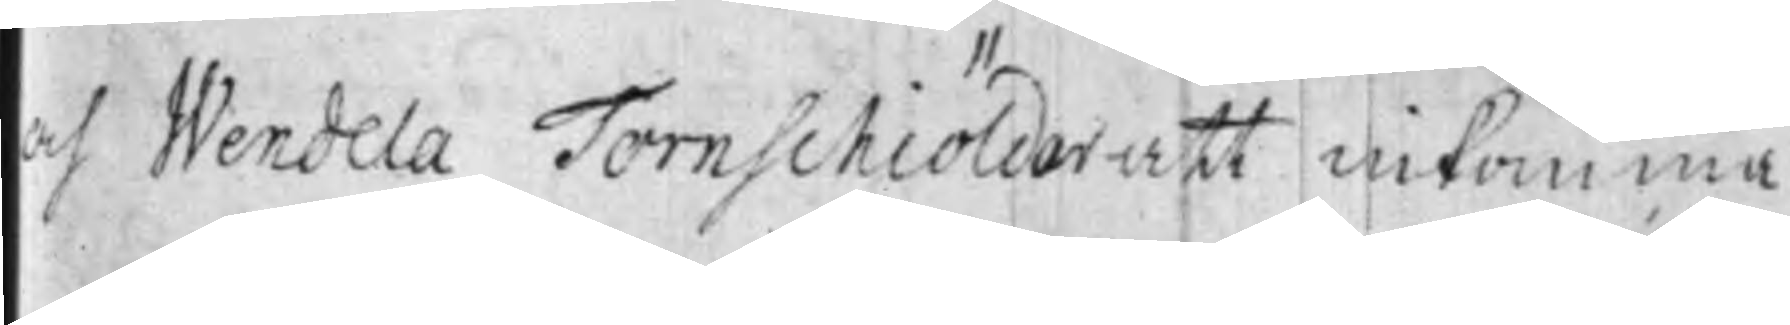och Wendela Tornschiöldar att inkomma
